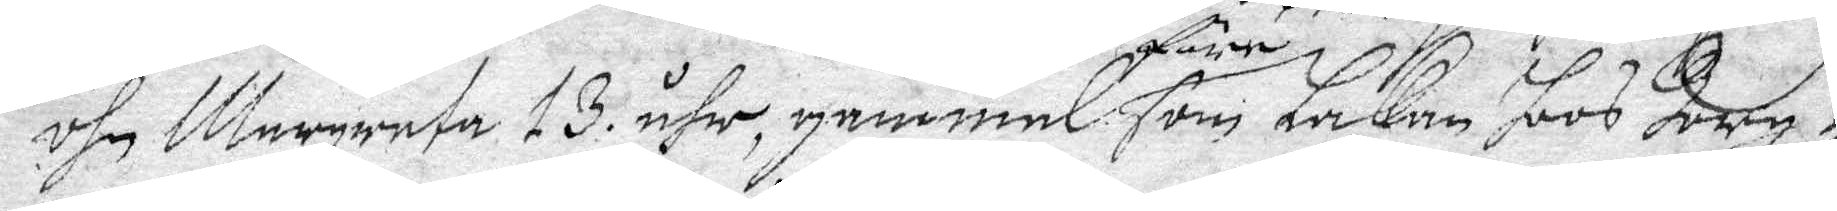öhn Margareta 13 åhr, gammal före som Lakan hoos Borg-
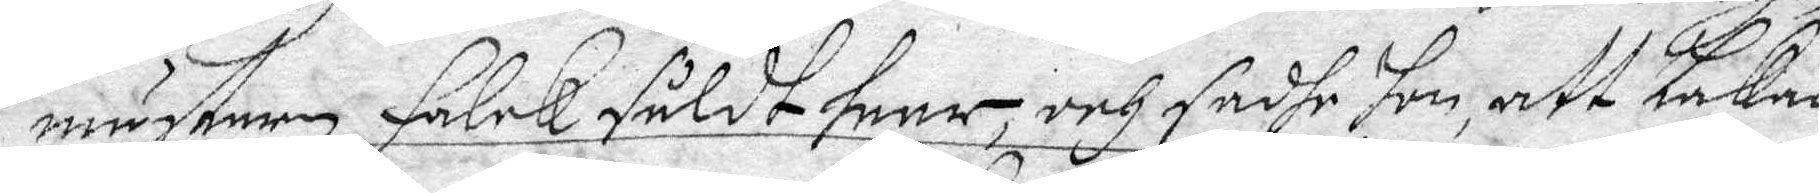mästaren Falck såldt haar, och sadhe hon, att Lakan
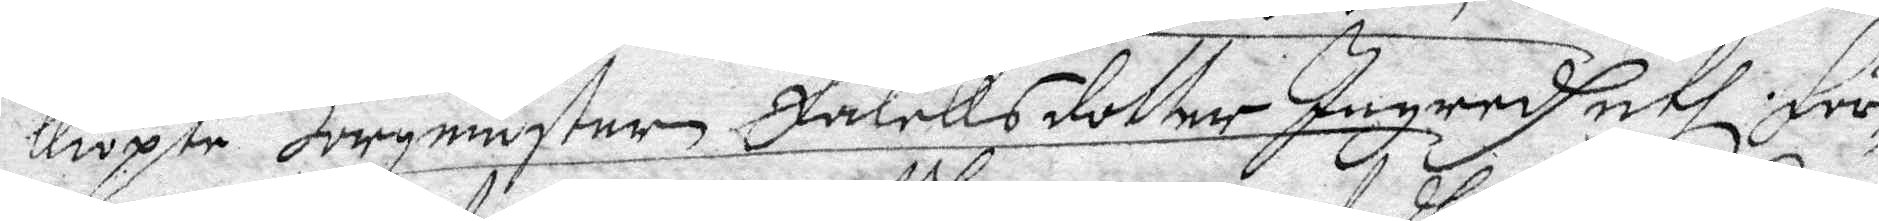kiöpte borgmästar Falcks dotter Ingredh uthi för¬
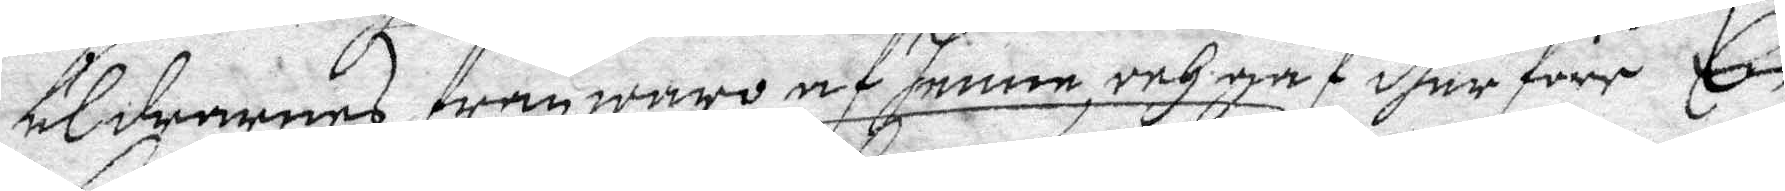äldarnes från waro af henne, och gaf dher före En
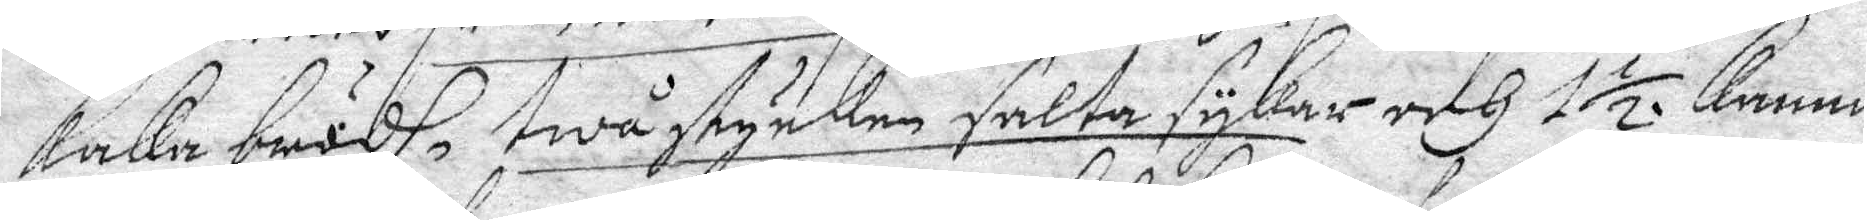kaka brödh, twå stycken salta sykar och 1 ½ kanna
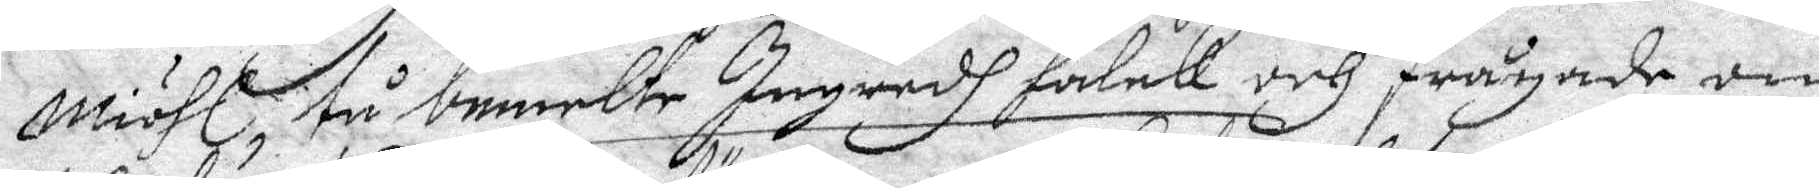miöhl, tå bemelte Ingredh Falck och frågade om
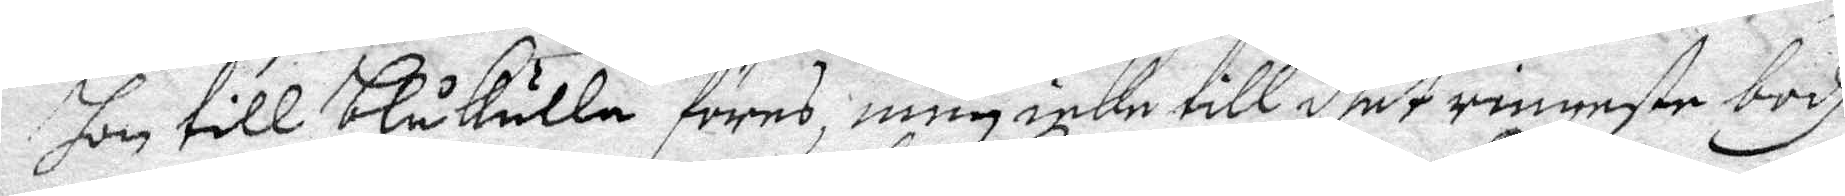hon till Blåkulla föres, men icke till deet ringeste bodh
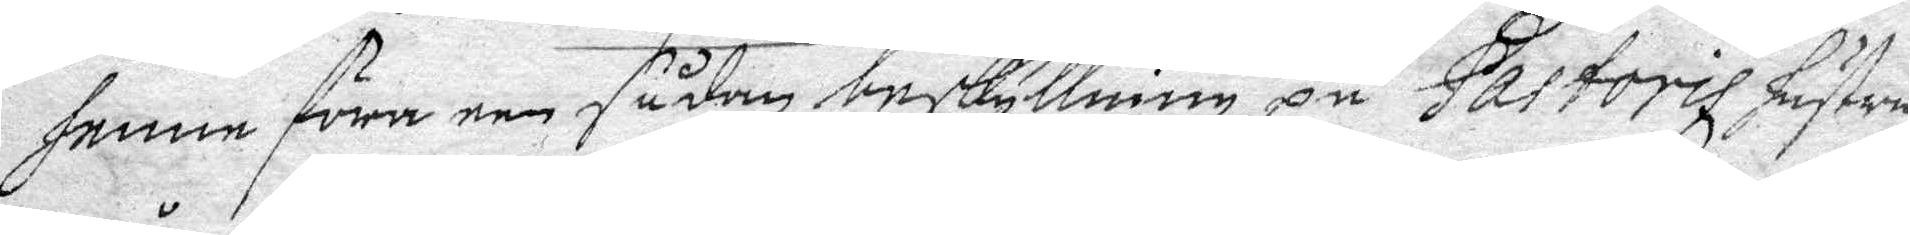henne föra een sådan beskyllning på Pastoris hustru
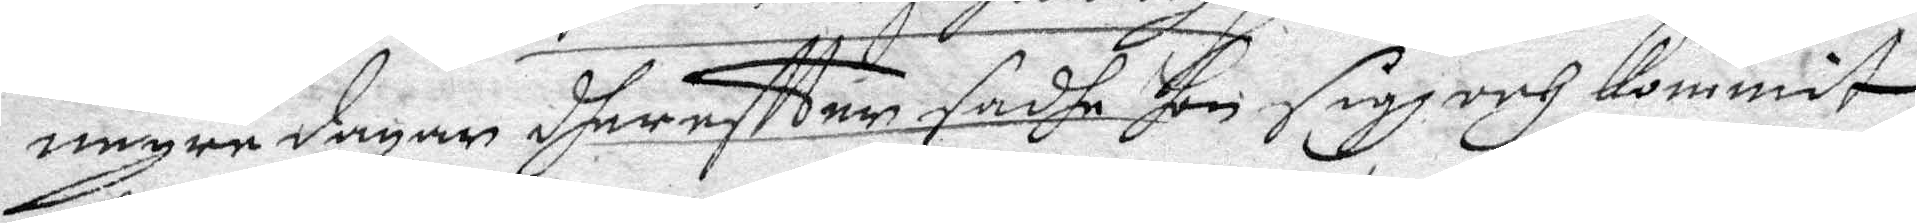någre dagar dhereffter sadhe hon sigh och kommit
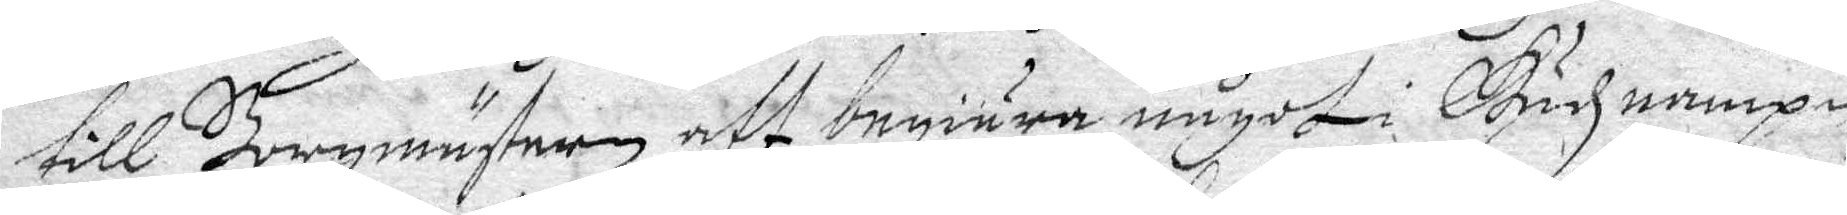till Borgmästeren att begiära något i Gudz nampn,
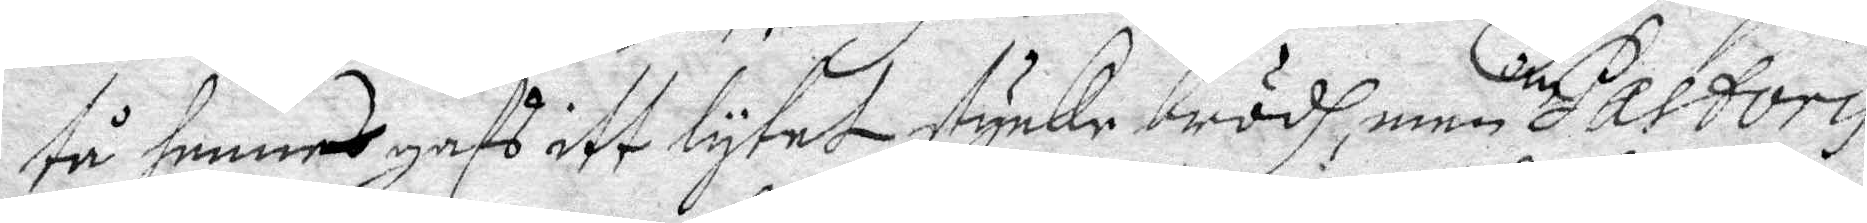tå henne gafs itt lyket stycke brödh, men om Pastori
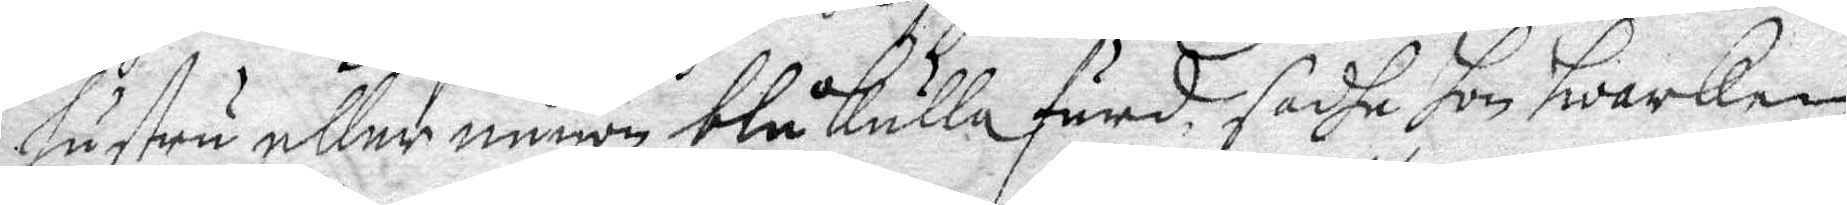Hustru eller någon blåkulla färd sadha hon hwarken
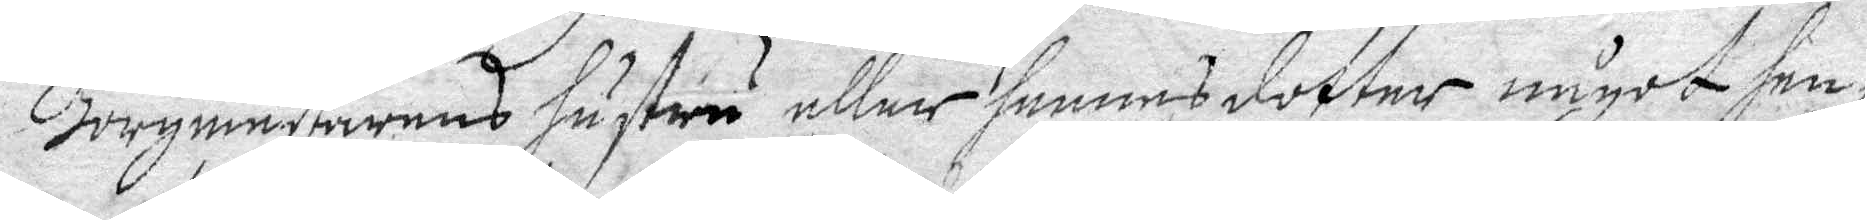Borgmästerens hustru eller hennes dotter något hen¬
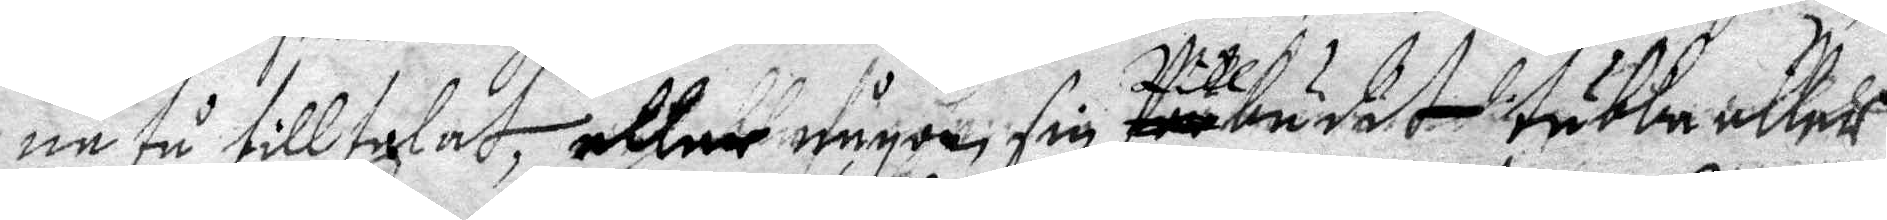ne tå tilltalat, aller någon sin för budit tubba eller
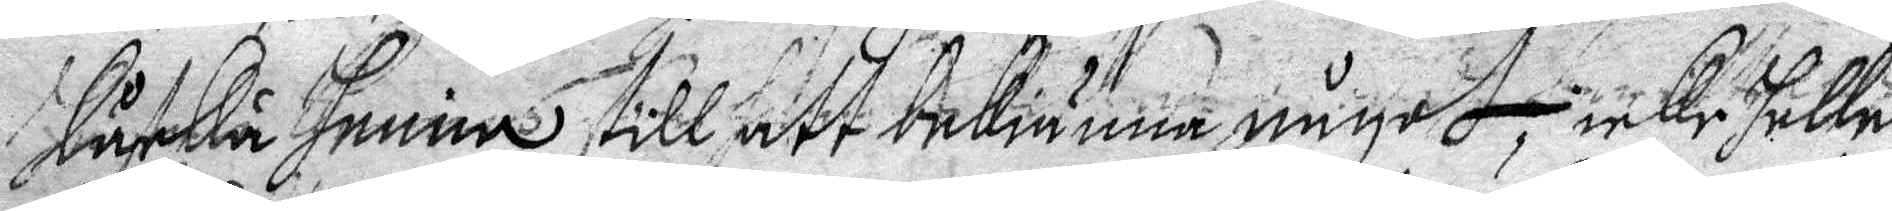låcka henne till att bekiänna något, icke heller
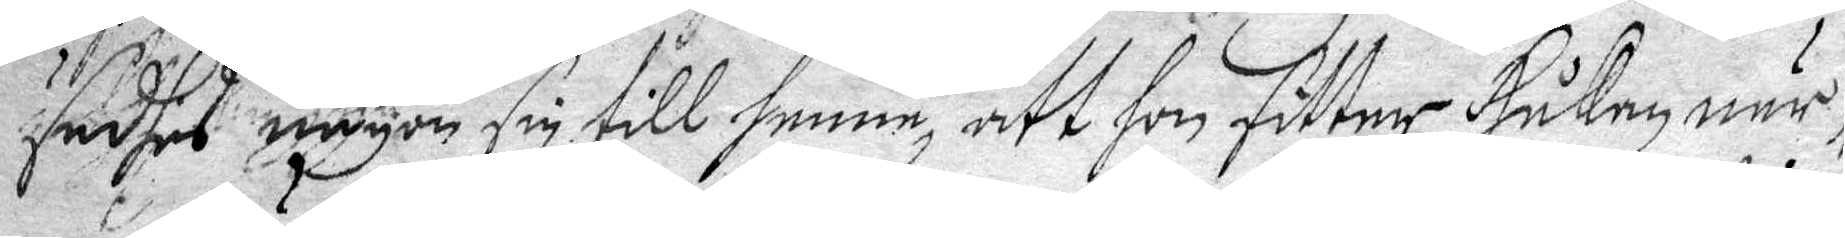sadhes någon sin till henne, att hon sitter Håkan när¬
